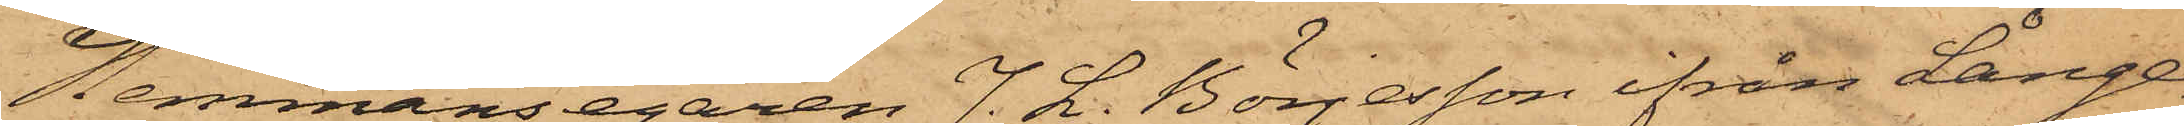Hemmansegaren J. L. Börjesson ifrån Långe¬
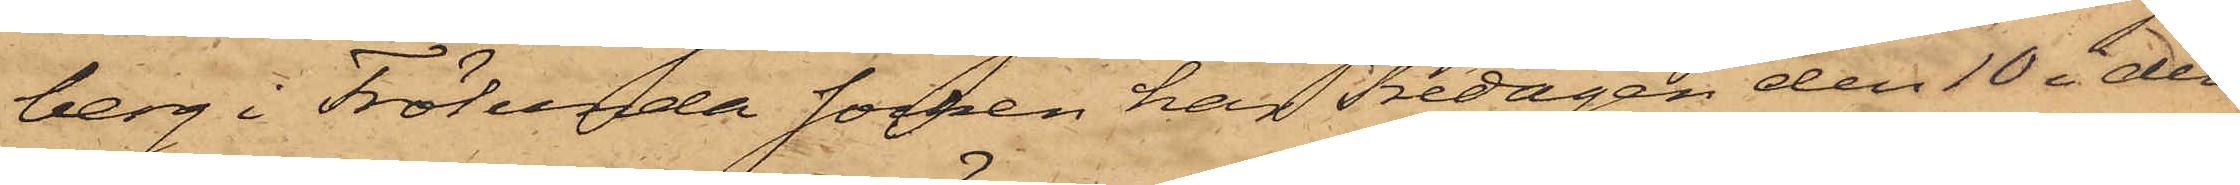berg i Frölunda socken har Fredagen den 10 i den¬
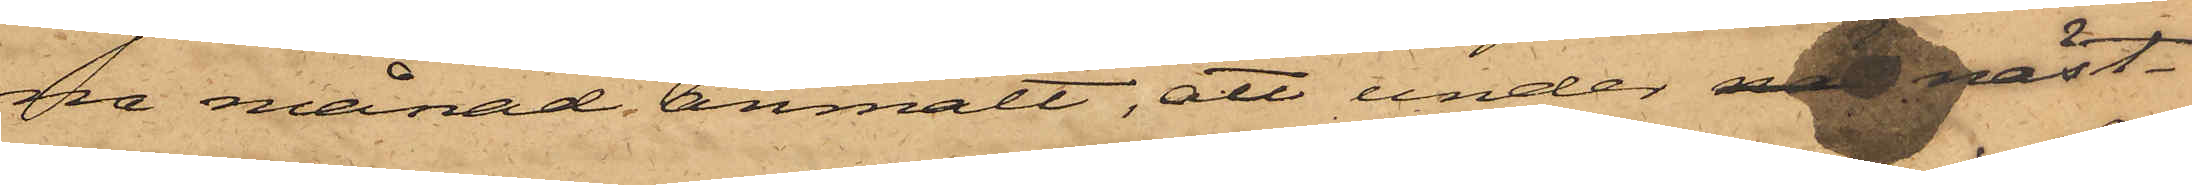na månad anmält, att under na näst¬
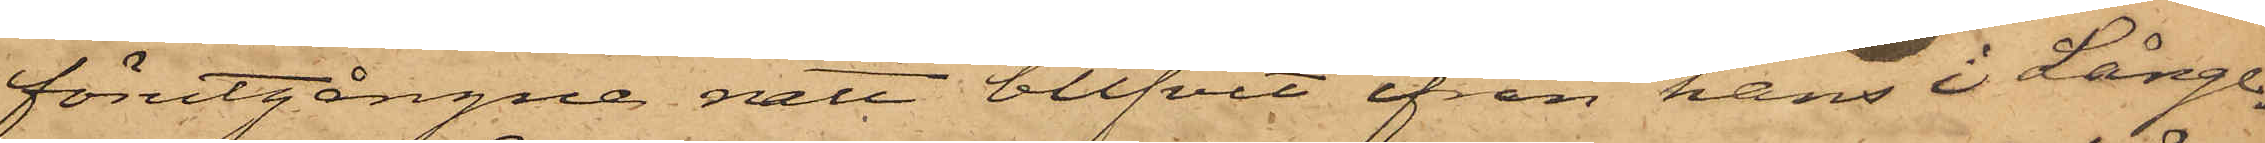förutgångne natt blifvit ifrån hans i Långe¬
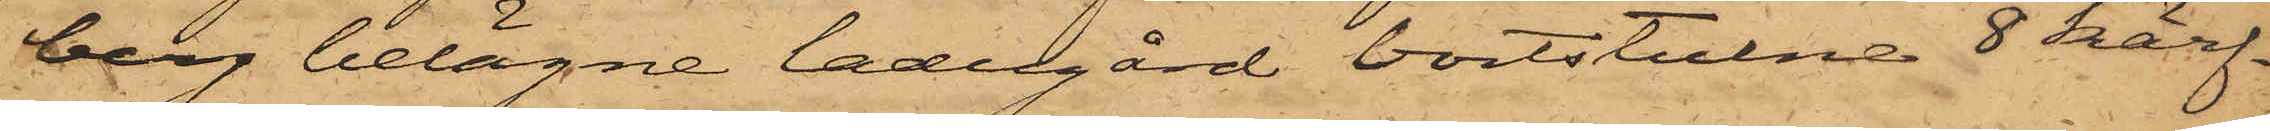berg belägne ladugård bortstulne 8 kärf¬
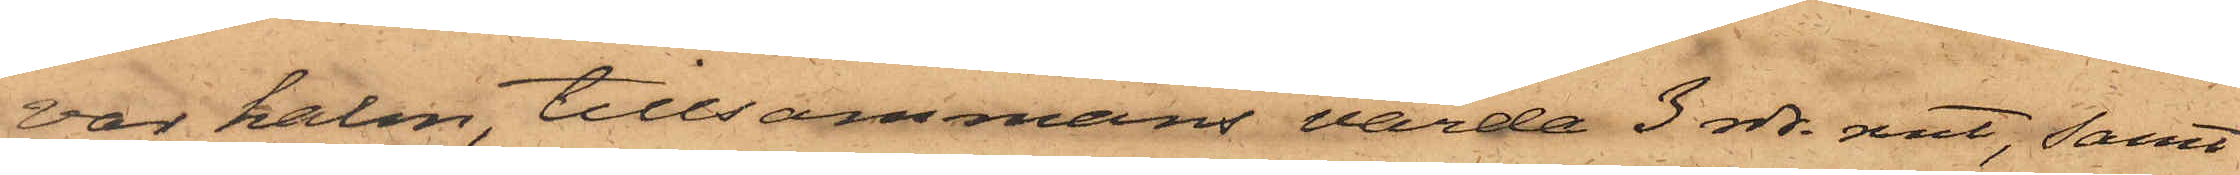var halm, tillsammans värda 3 rdr rmt, samt
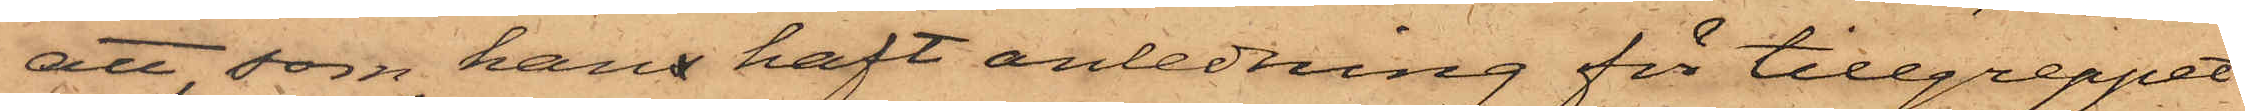att, som hans haft anledning för tillgreppet
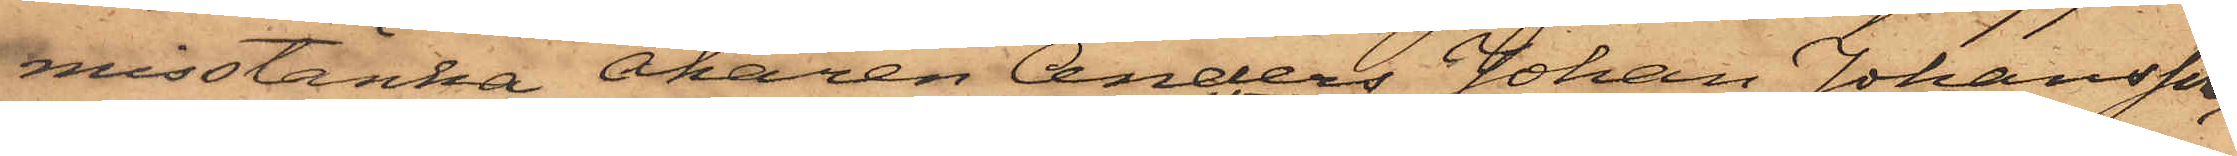misstänka Åkaren Anders Johan Johansson,
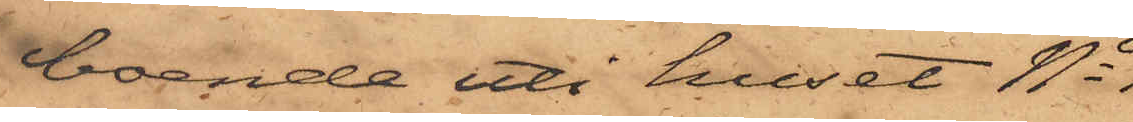boende uti huset No
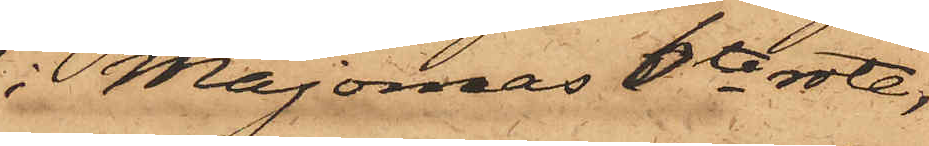i Majornas 6te rote,
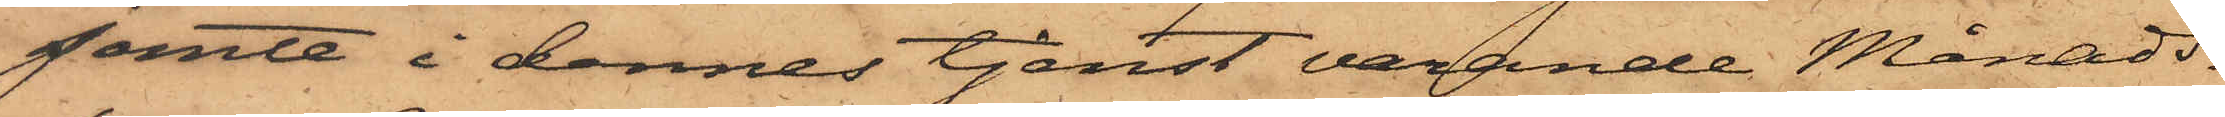jemte i dennes tjenst varande Månads¬
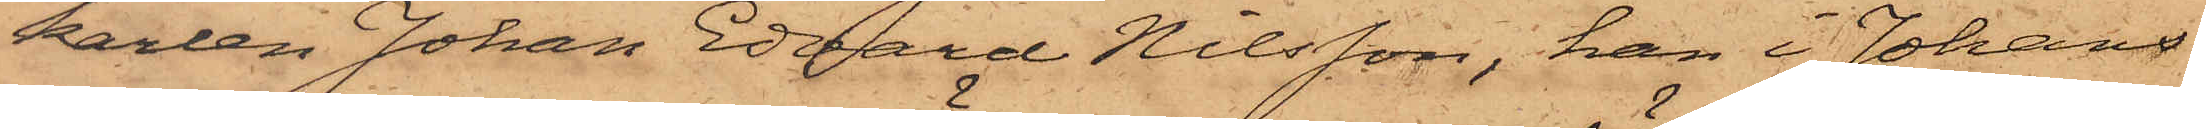karlen Johan Edvard Nilsson, han i Johans¬
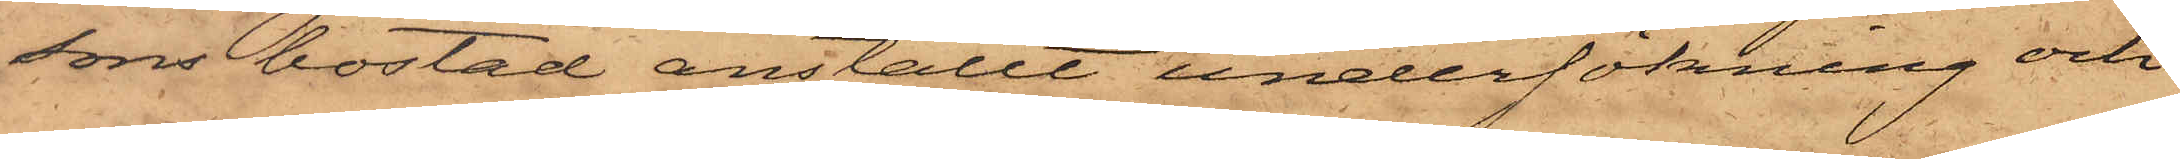sons bostad anställt undersökning och
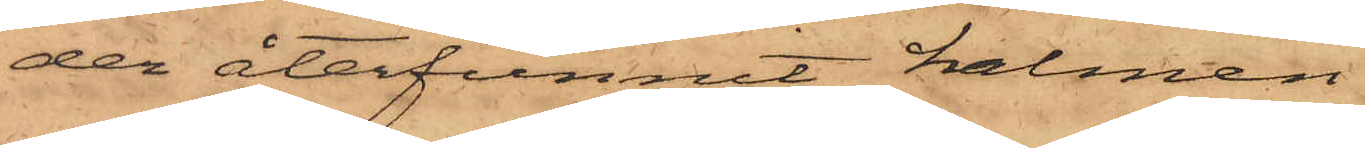der återfunnit halmen.
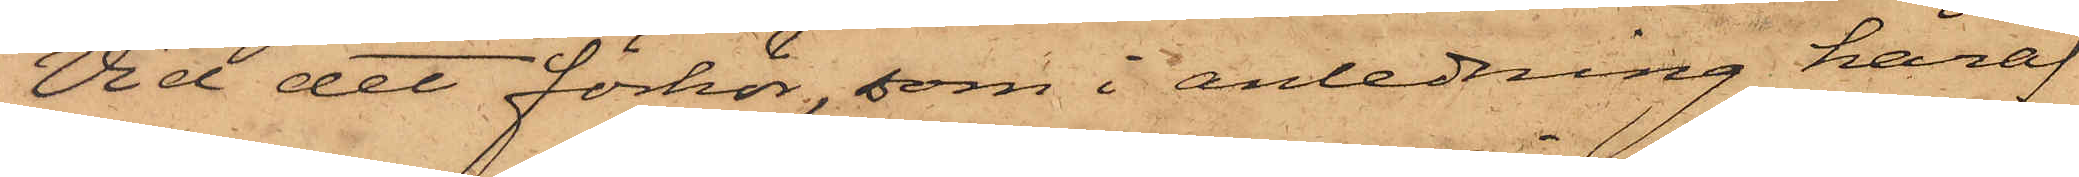Vid det förhör, som i anledning häraf
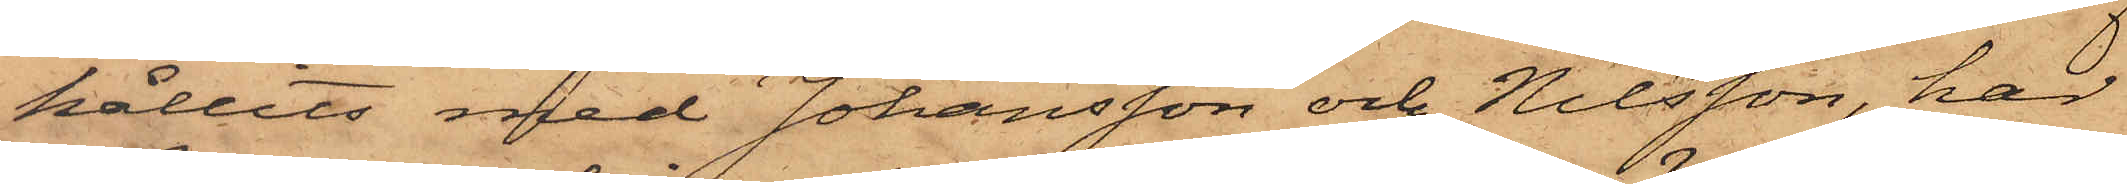hållits med Johansson och Nilsson, har
